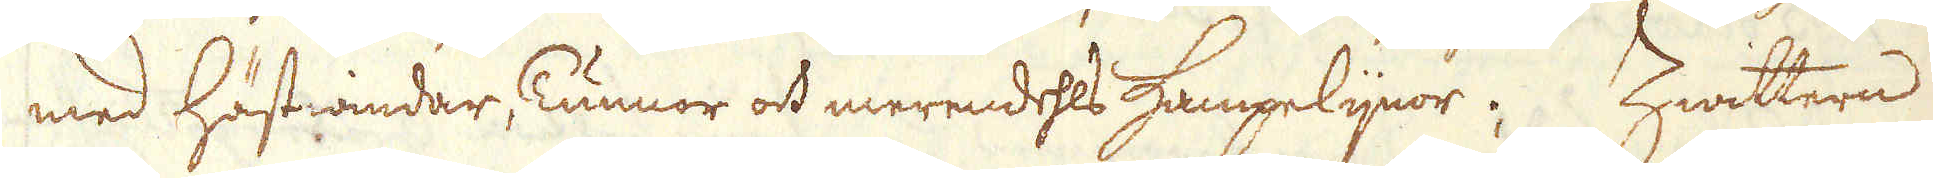med hästwindar, Tunnor och merendehls Hampelijnor. Zwittern
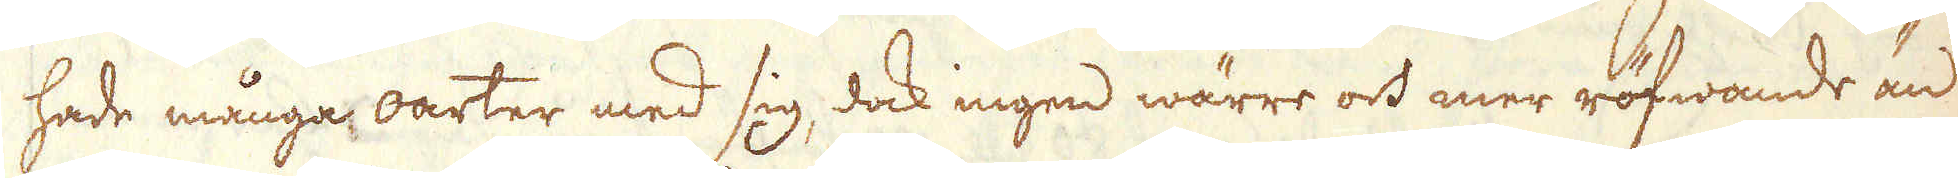hade många oarter med sig, dock ingen wärre och mer röfwande än
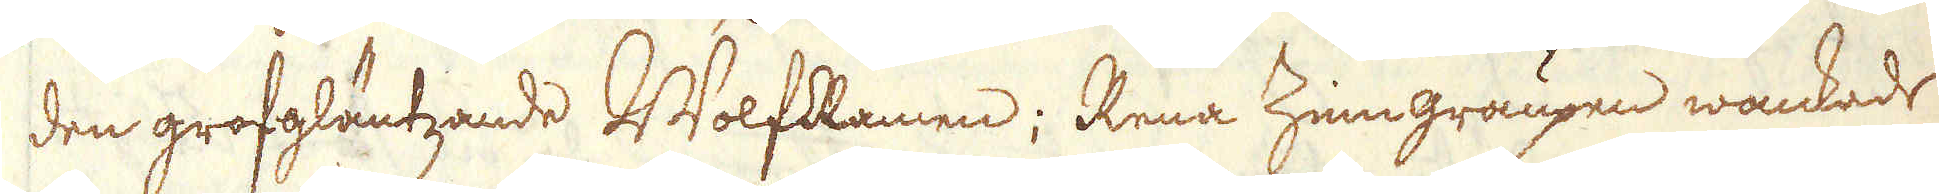den grofgläntzande WolfRamen; Rena Zinngraupen wankade
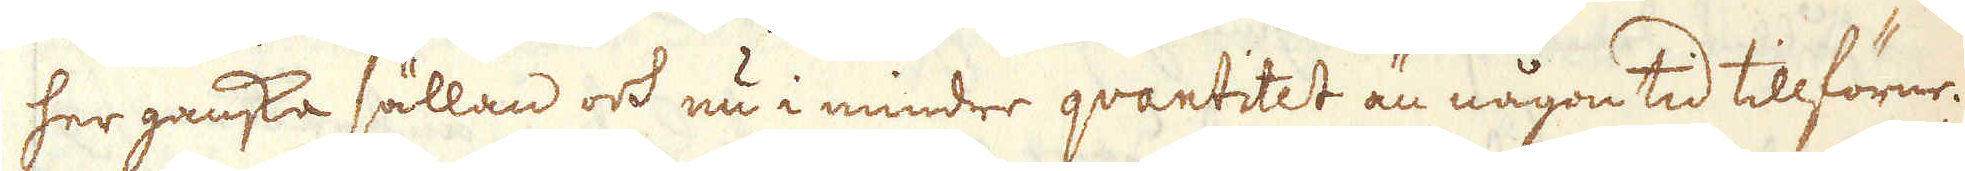her ganska sällan och nu i mindre quantitet än någon tid tillförne.
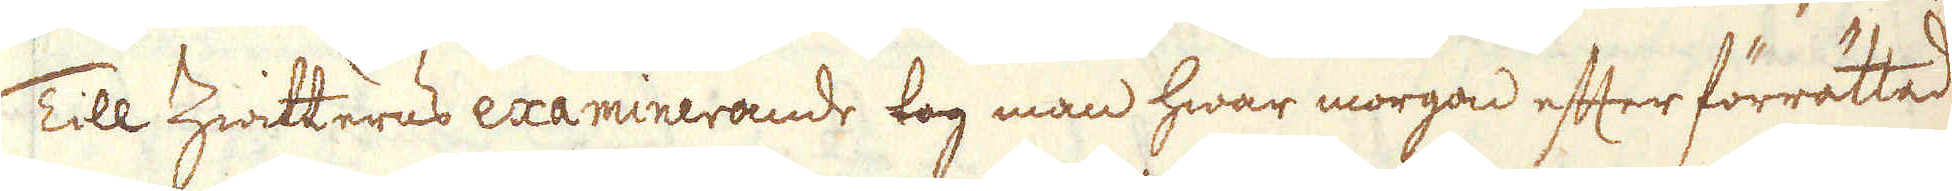Till Zwitterns examinerande tog man hwar morgon efter förrättad
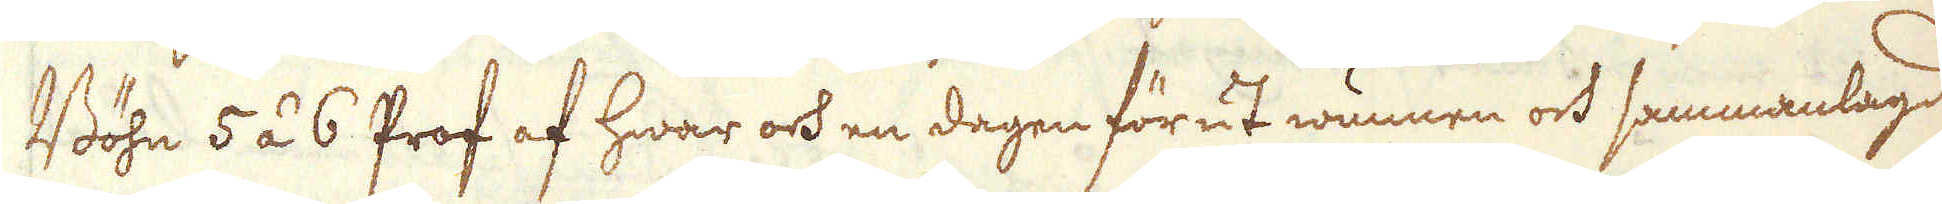Böhn 5 á 6 Prof af hwar och en dagen förut wunnen och sammanlagd
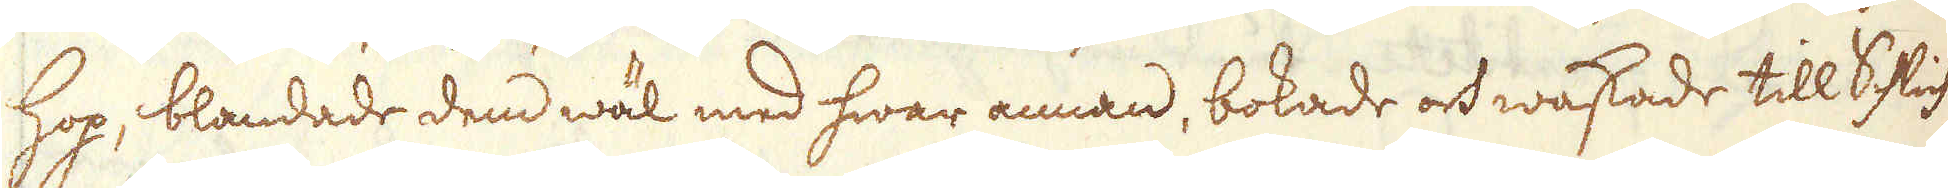hop, blandade dem wäl med hwar annan, bokade och waskade till Schlich
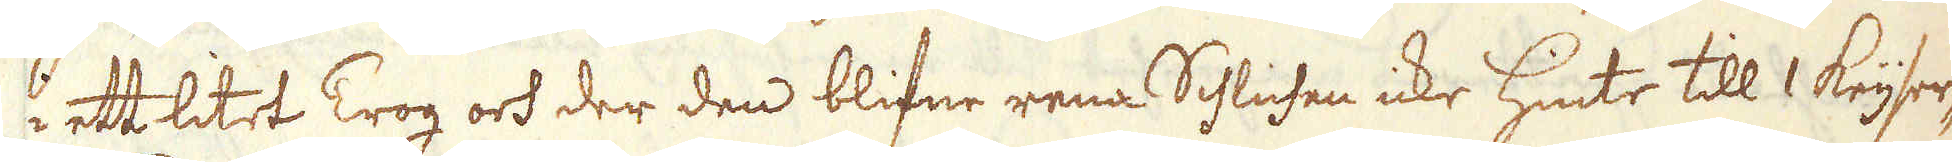i ett litet Trog och der den blifne rena Schlichen icke hinte till 1 Keijser-
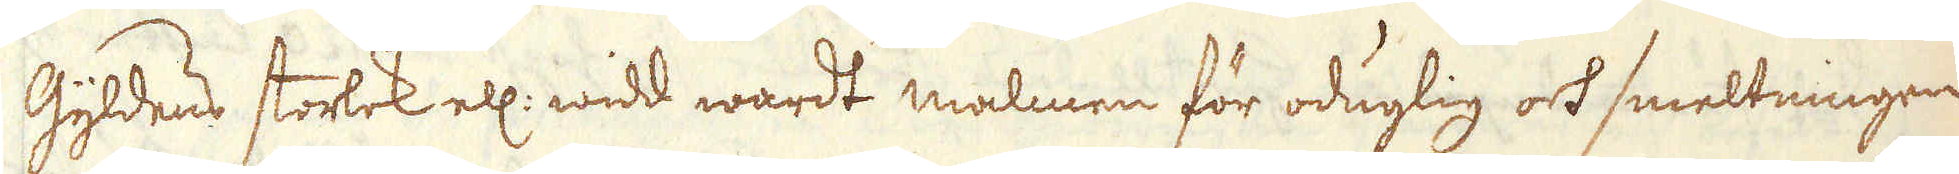Gyldens storlek el: widd wardt malmen för oduglig och smeltningen
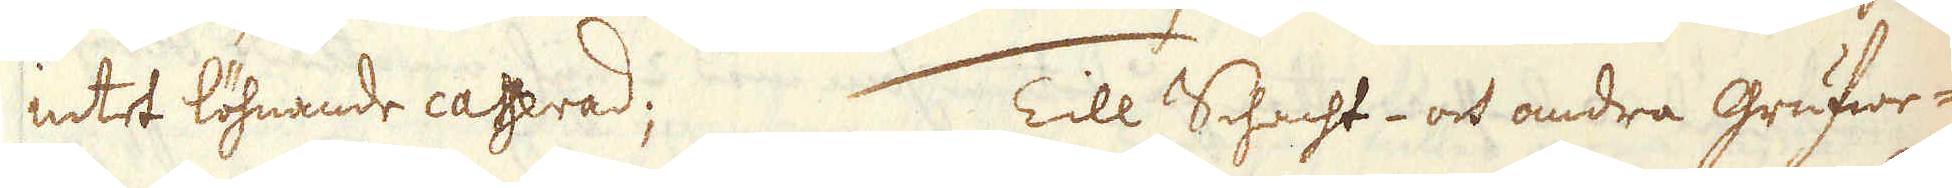intet löhnande casserad; Till Schacht- och andra grufwe-
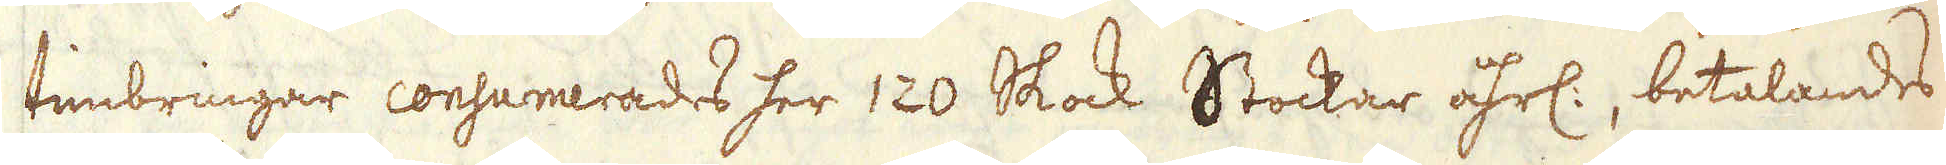timbringar consumerades her 120 Skock Stockar åhrl:, betalandes
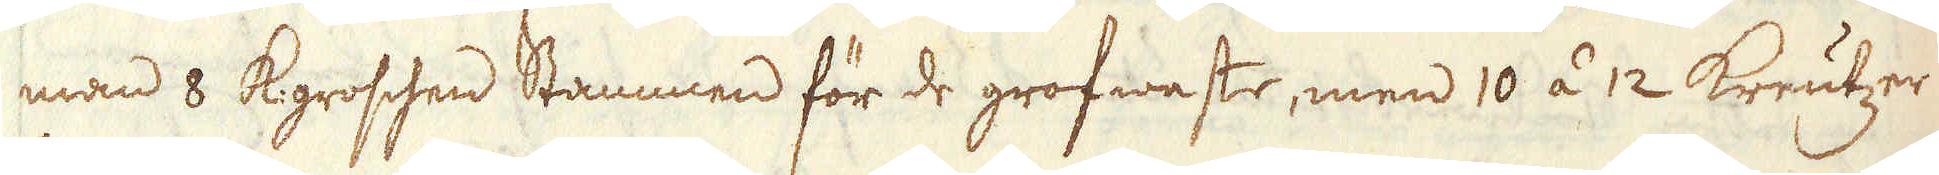man 8 K:groschen Stammen för de grofwaste, men 10 á 12 Kreutzer
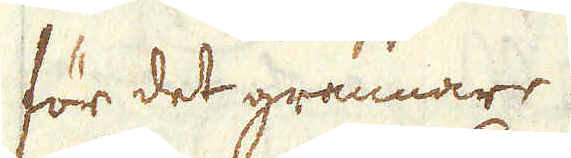för det grannare.
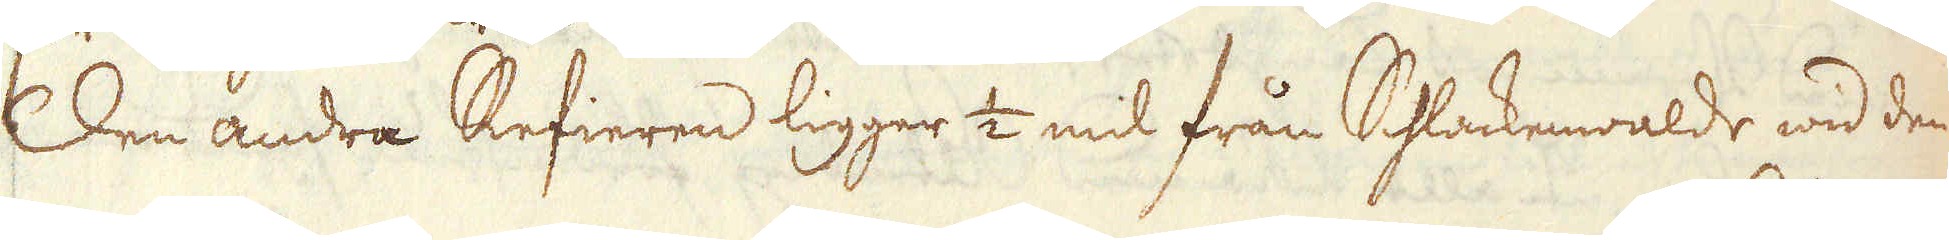Den andra Refieren ligger 1/2 mil från Shlackewalde wid den
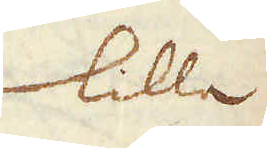lilla
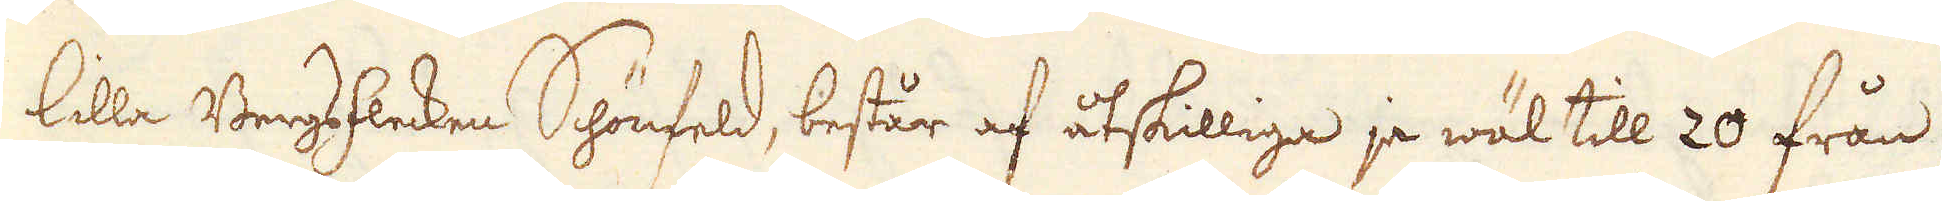lilla Bergsflecken Schönfeld, består af åtskilliga ja wäl till 20 från
